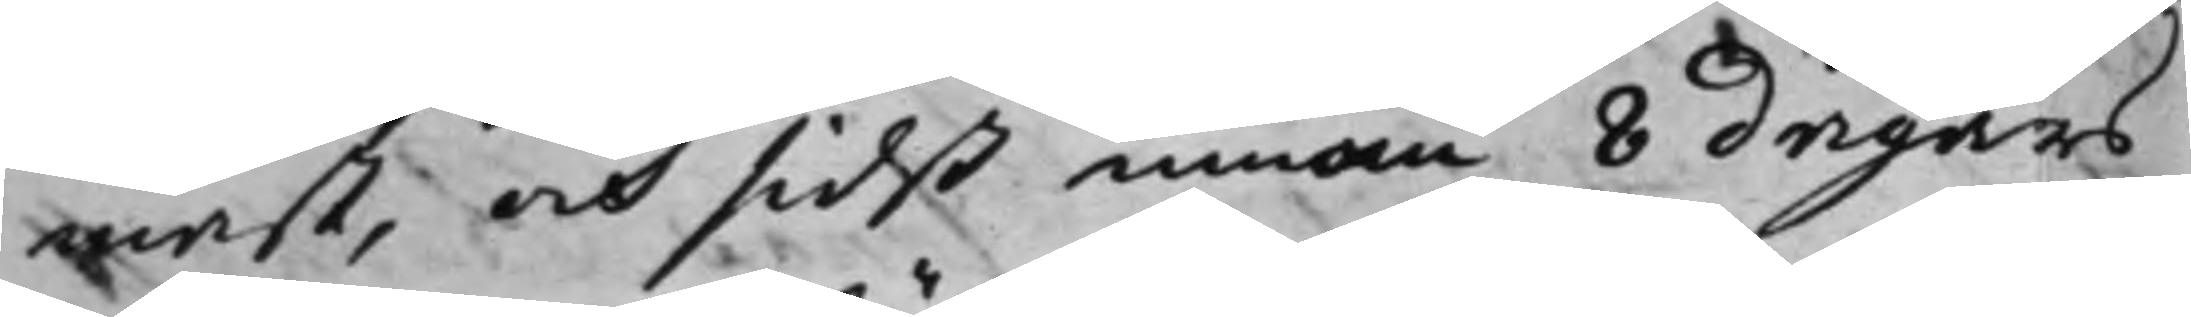mast, och sidst innom 8 dagars
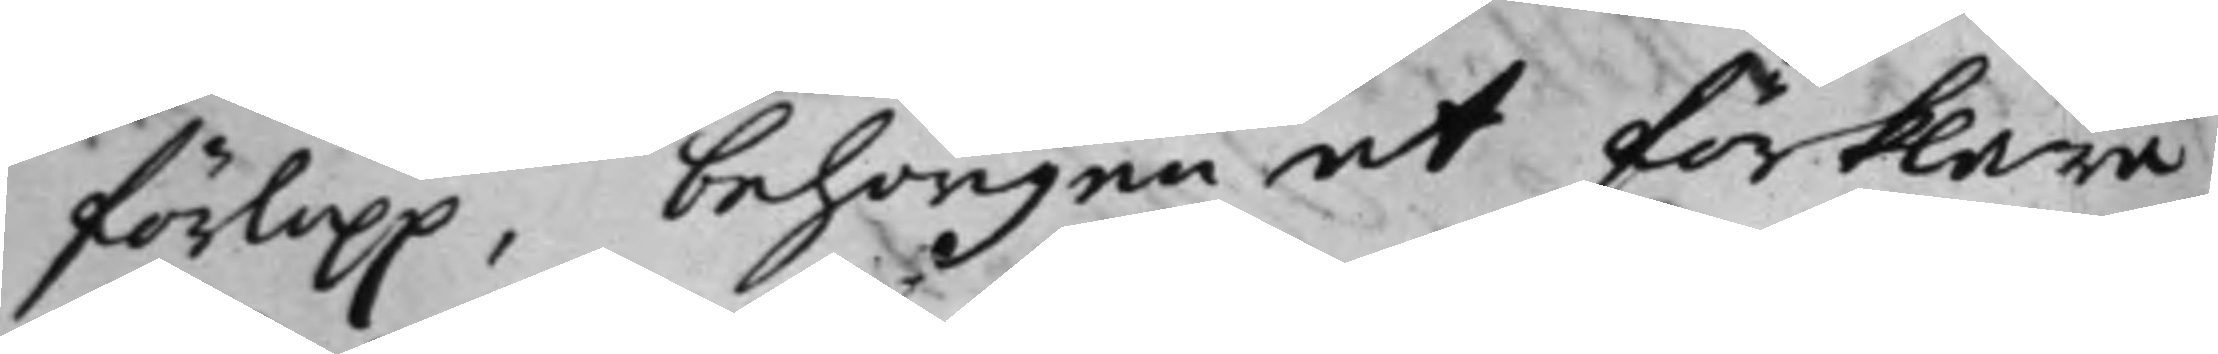förlopp, behörigen at förklara,
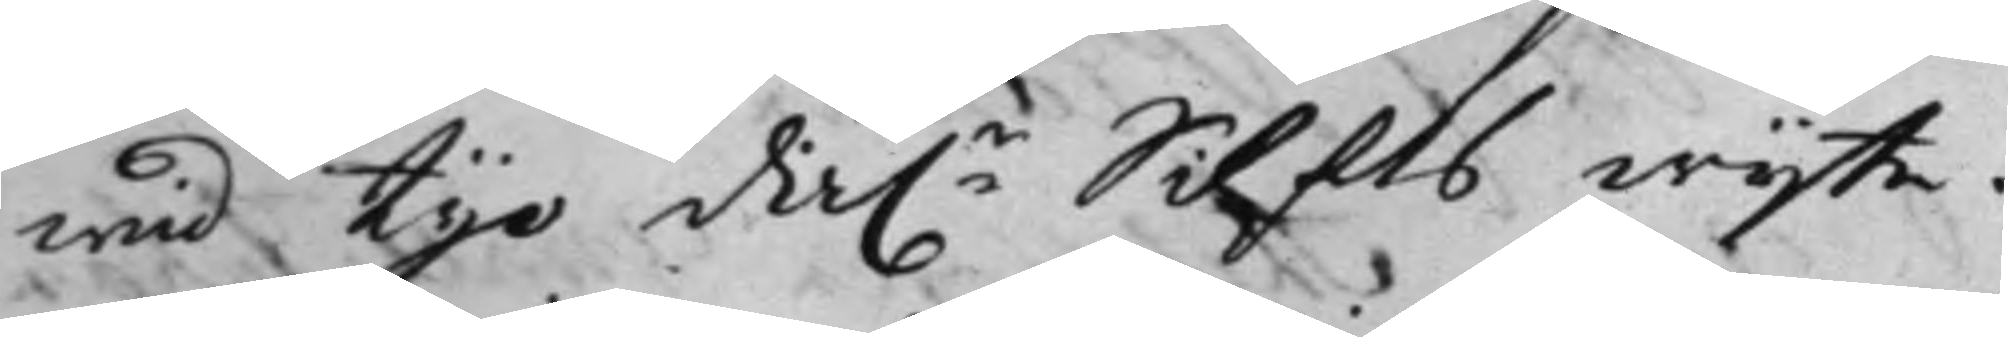wid tije Da.r Silfrs wijte.
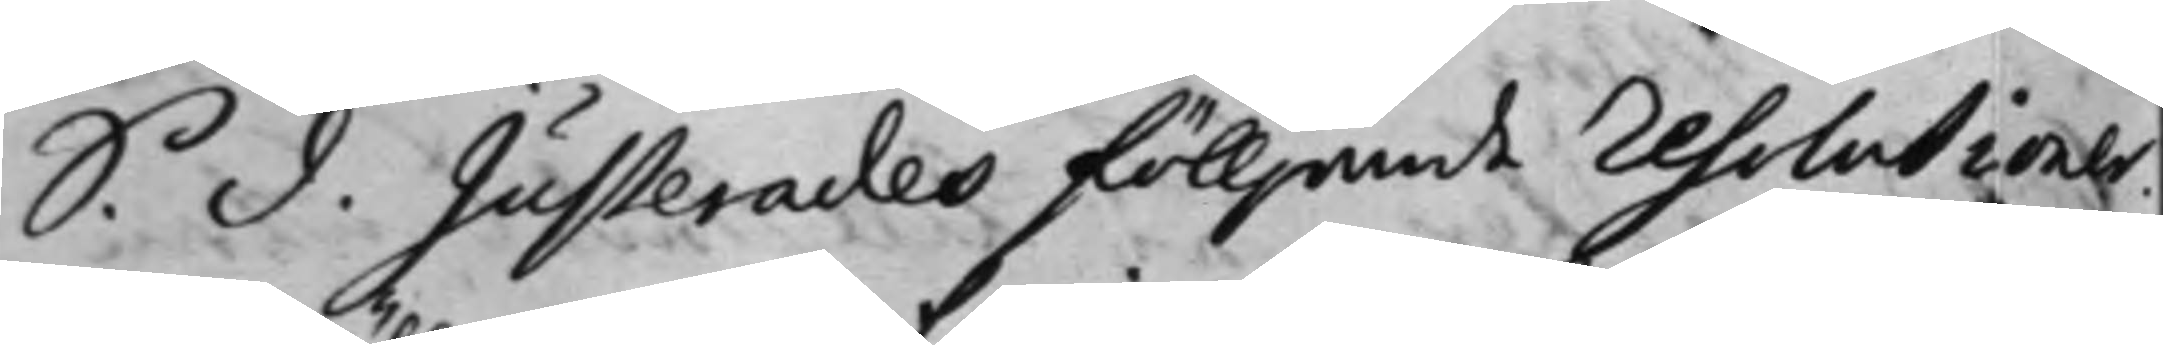S. D. Justerades fölljande resolutioner.
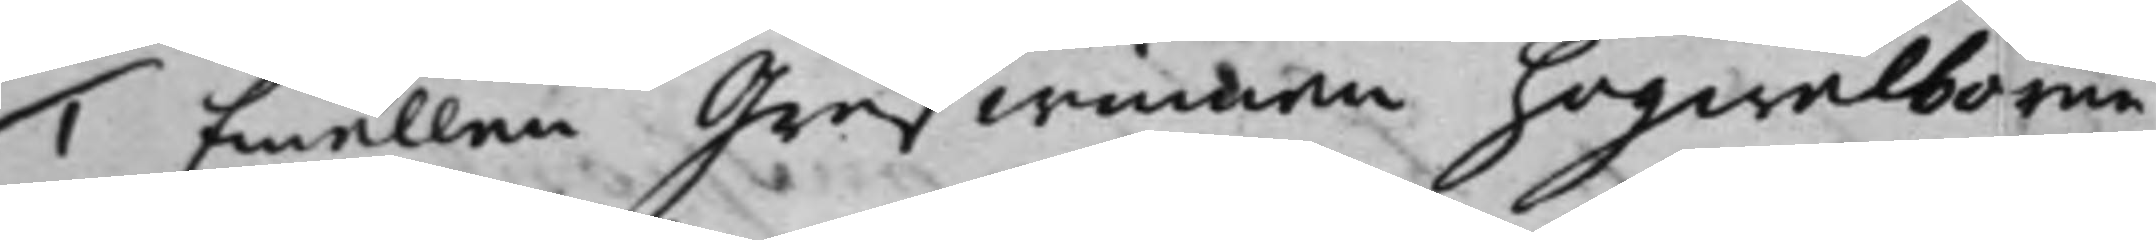1. Emällan Grefwinnan högwälborne
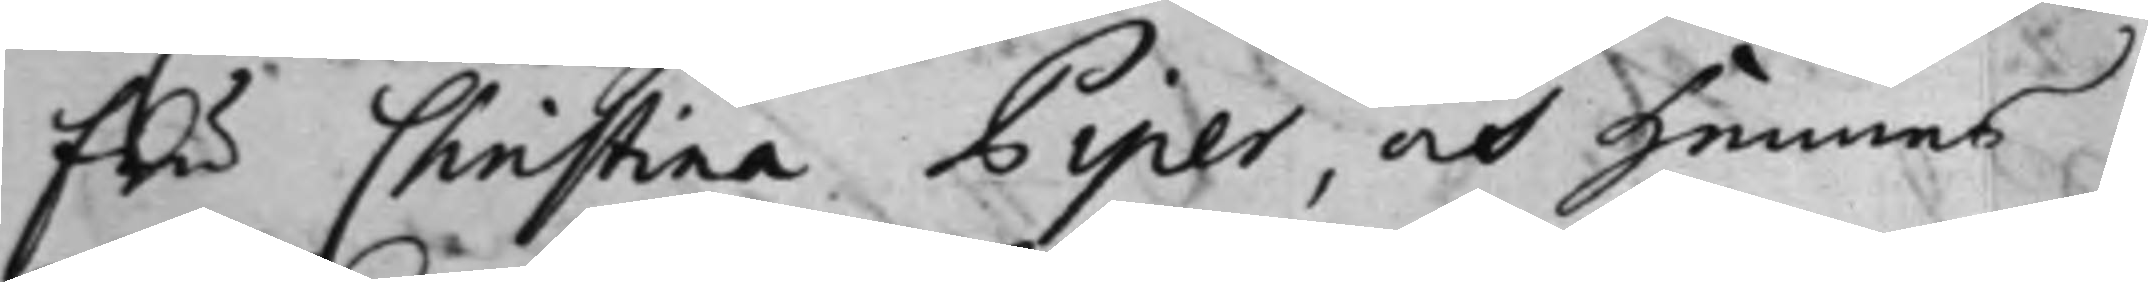fru Christina Piper, och hennes
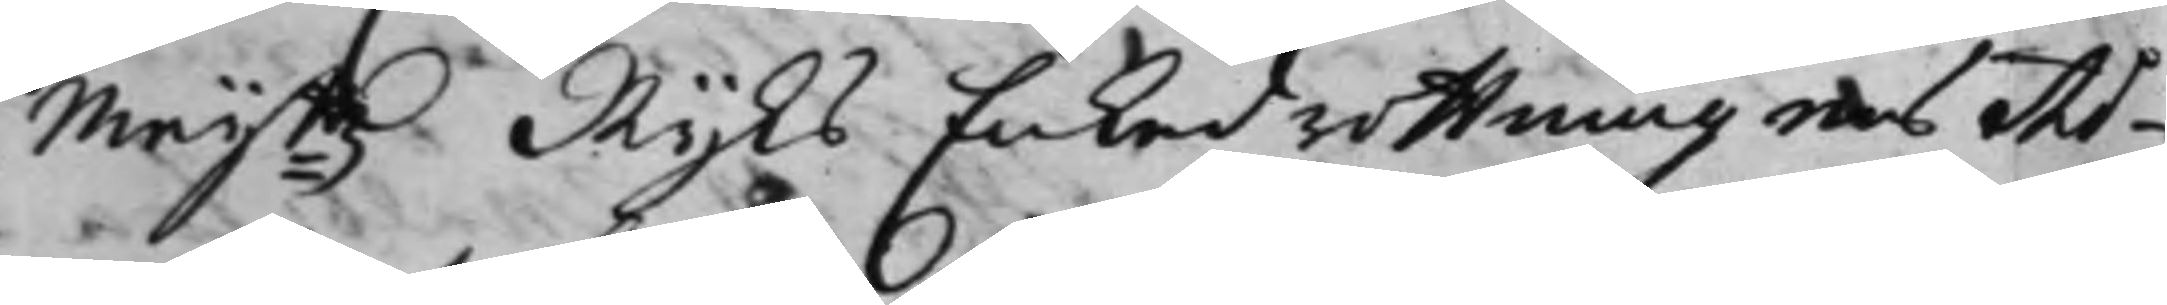Maijß Rijks Enkedrottningens Ad¬
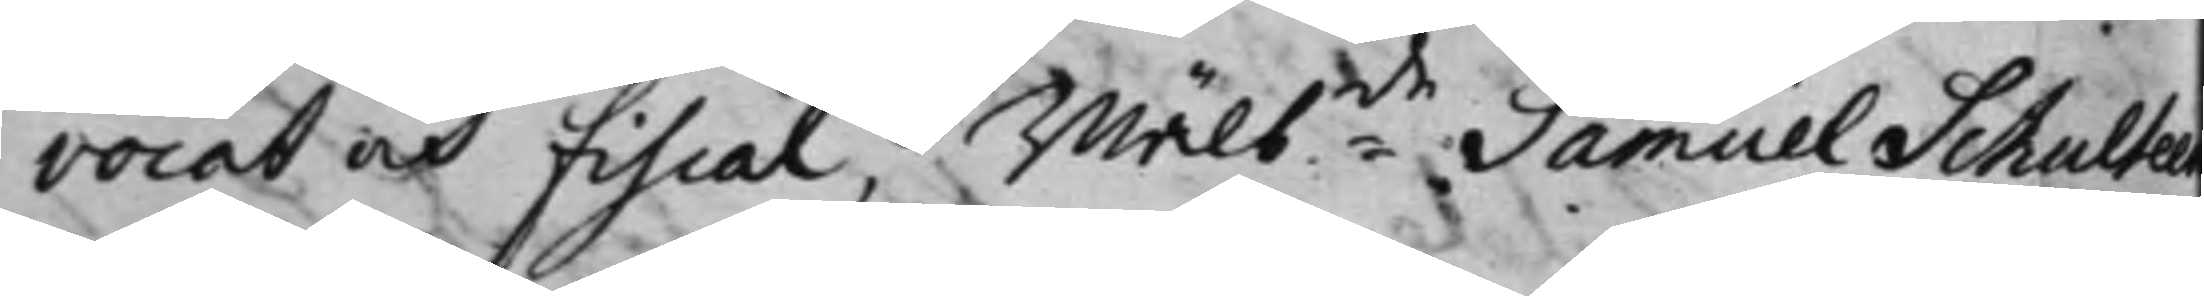vocat och fiscal, wälbde Samuel Schulteen
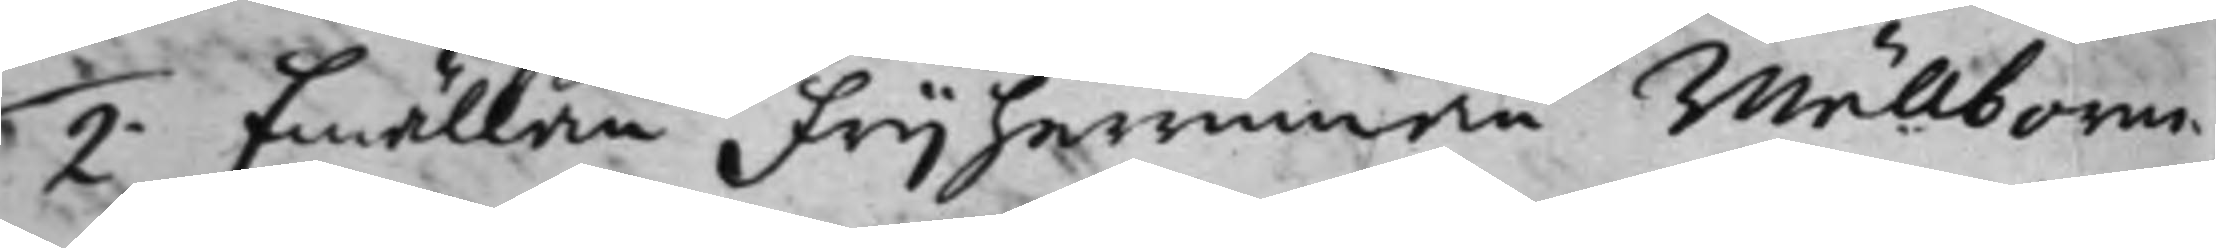2. Emällan frijherrinnan wälborne
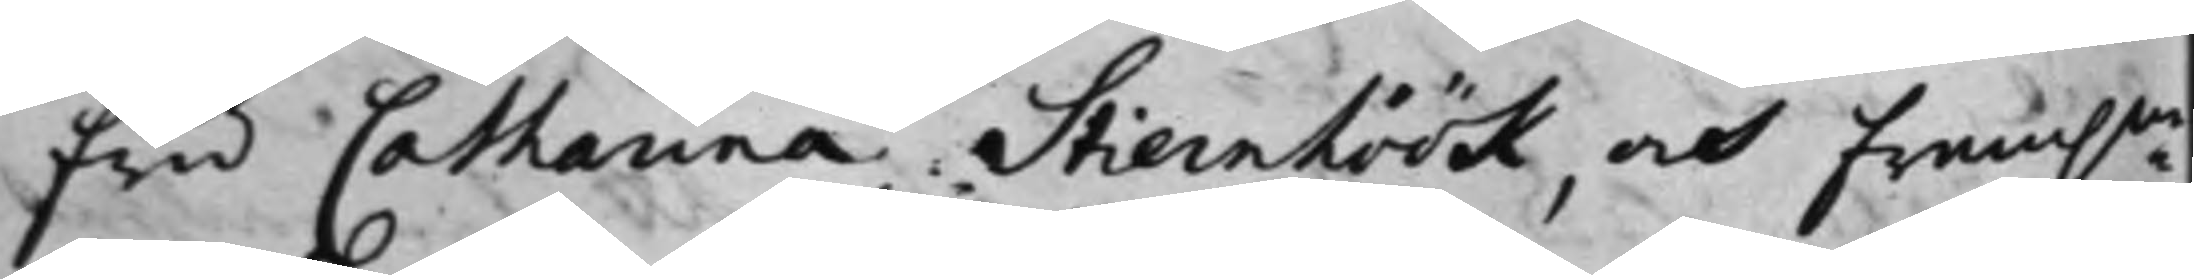fru Catharina Stiernhöök, och fram.ne
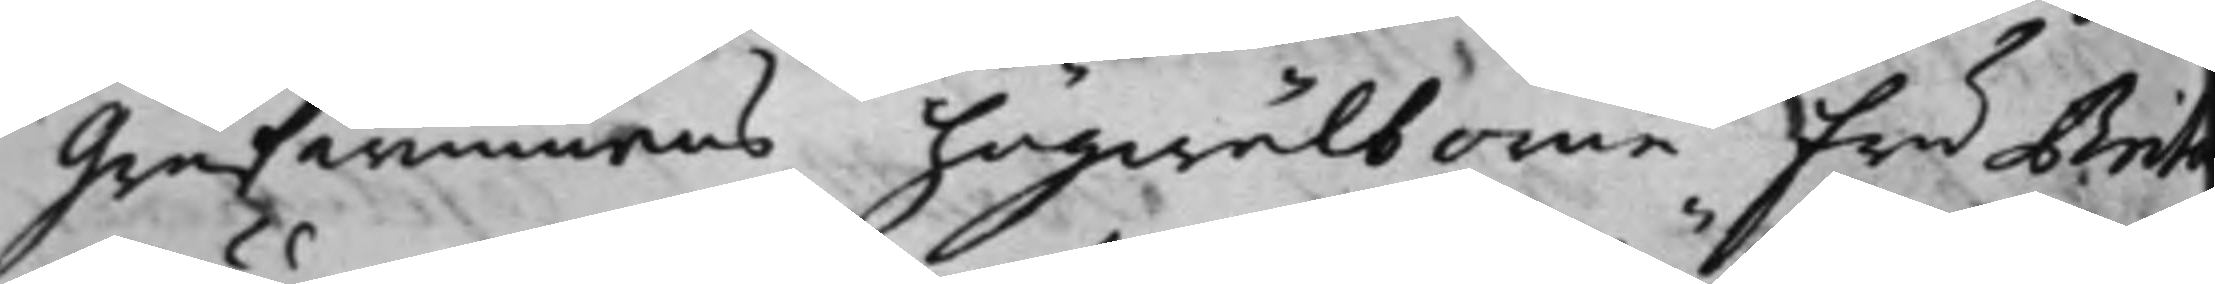Grefwinnans högwälborne fru Brita
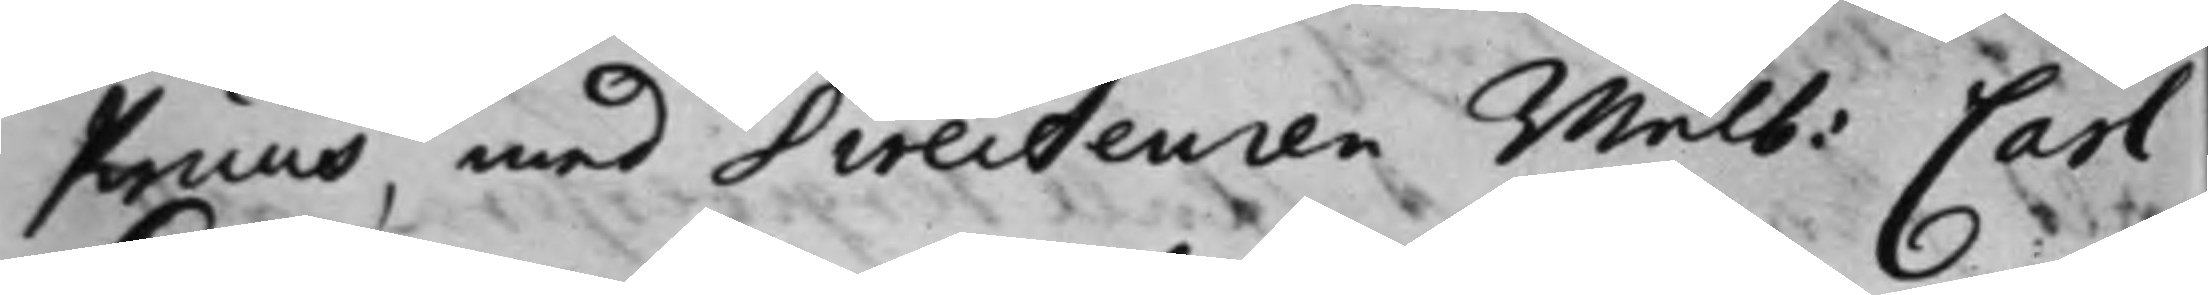Kruus, med Directeuren wälb: Carl
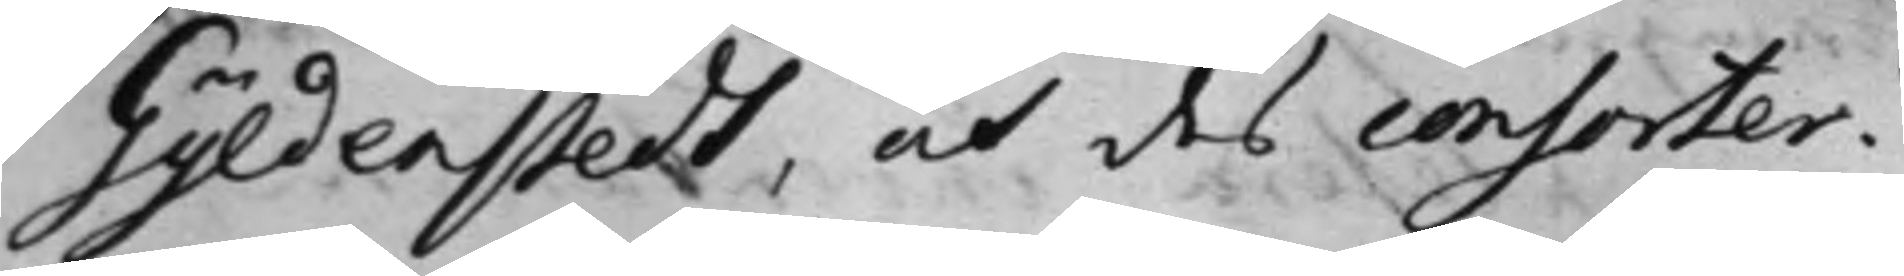Gyldenstedt, och des consorter.
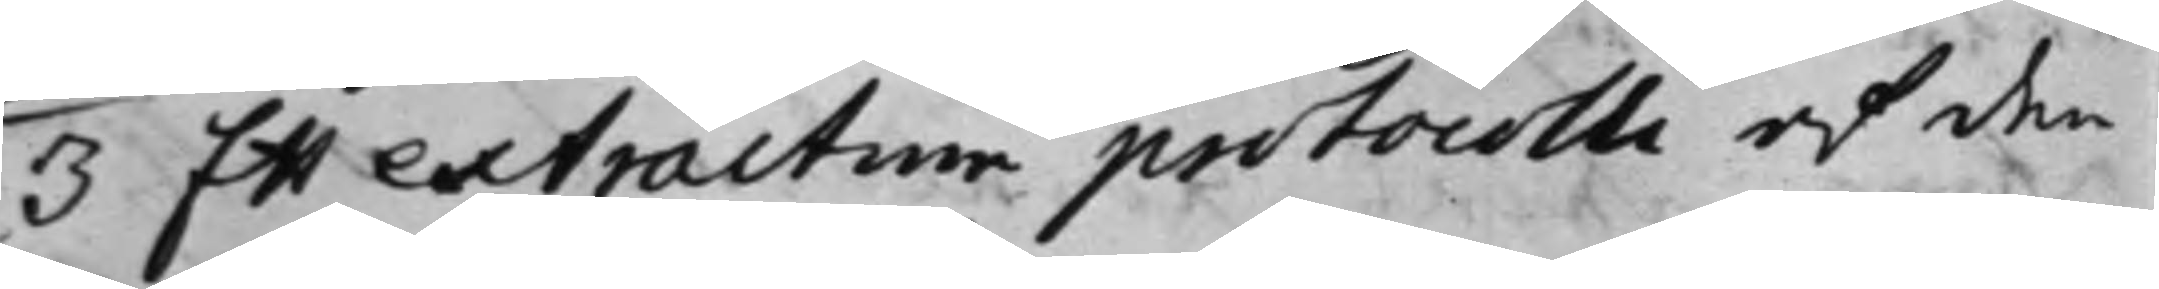3. Ett extractum protocolli af den
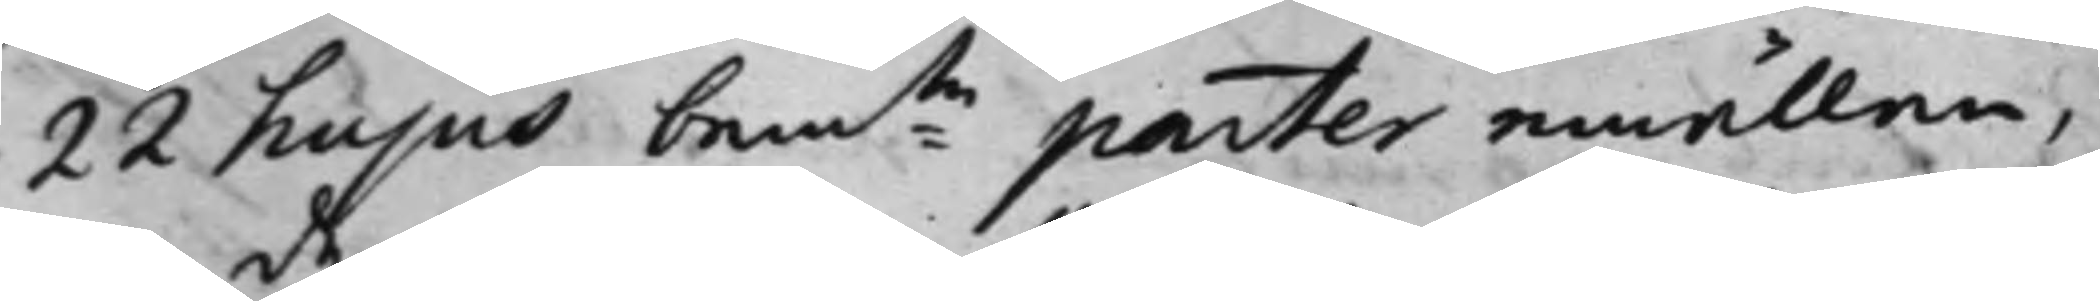22 hujus bente parter emällan,
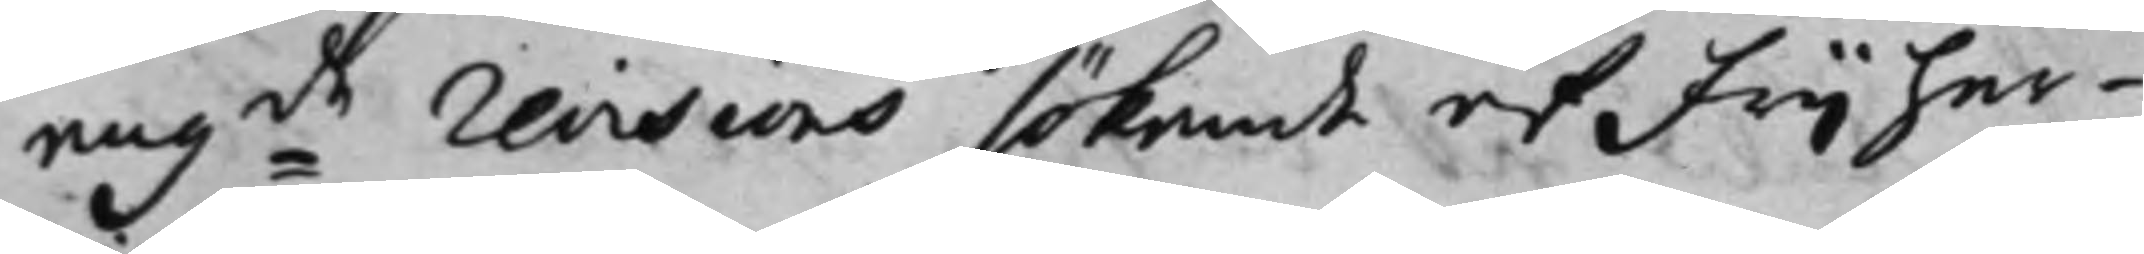angde revisions sökande af frijher¬
